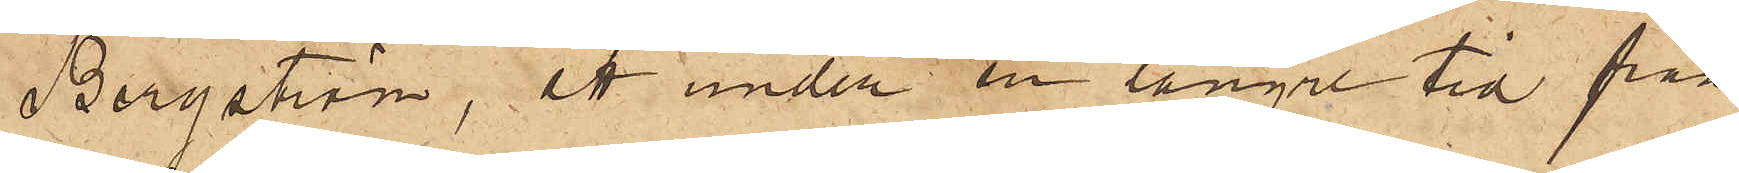Bergström, att under en längre tid från
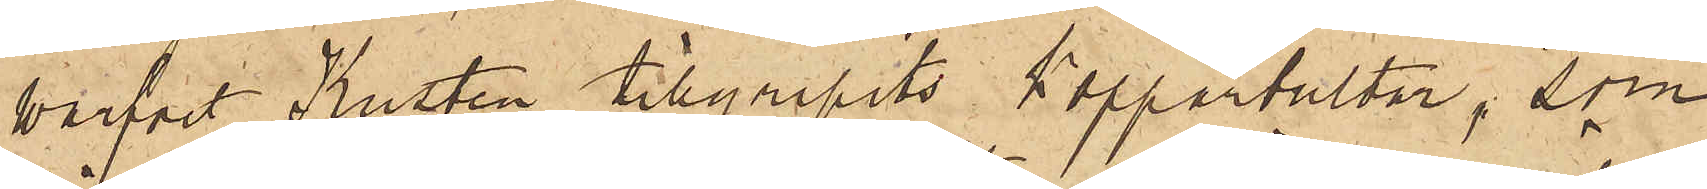warfvet Kusten tillgripits Kopparbultar, som
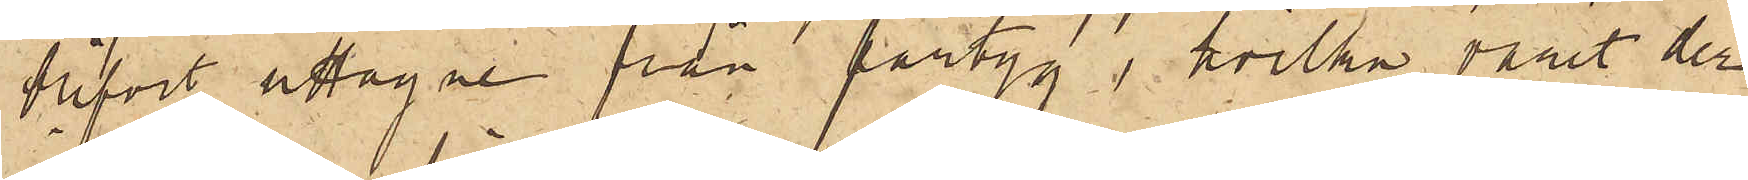blifvit uttagne från fartyg, hvilka varit der
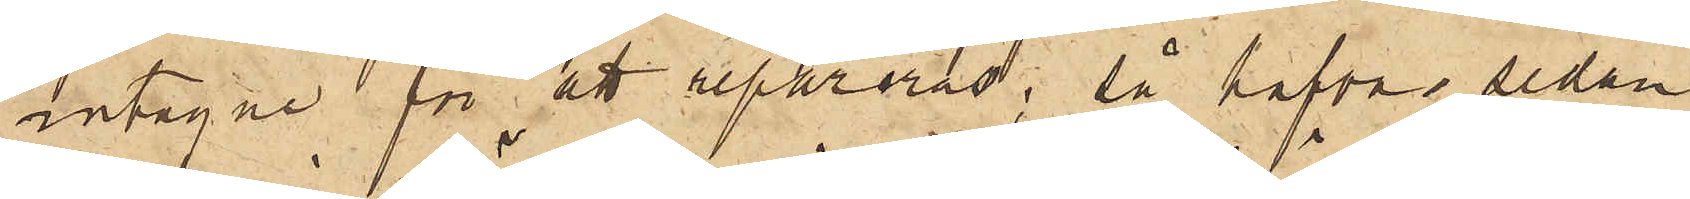intagne för att repareras; så hafva, sedan
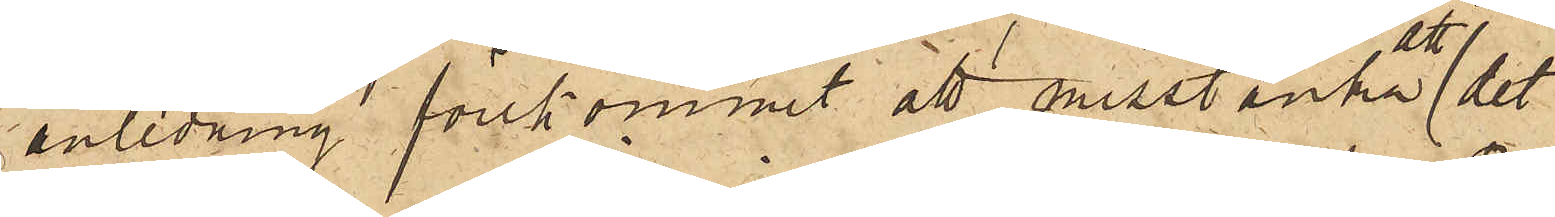anledning förekommit att misstänka det
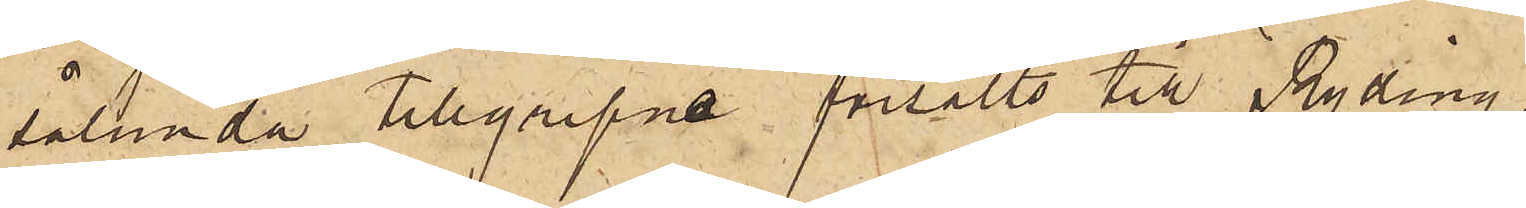sålunda tillgripne försålts till Ryding,
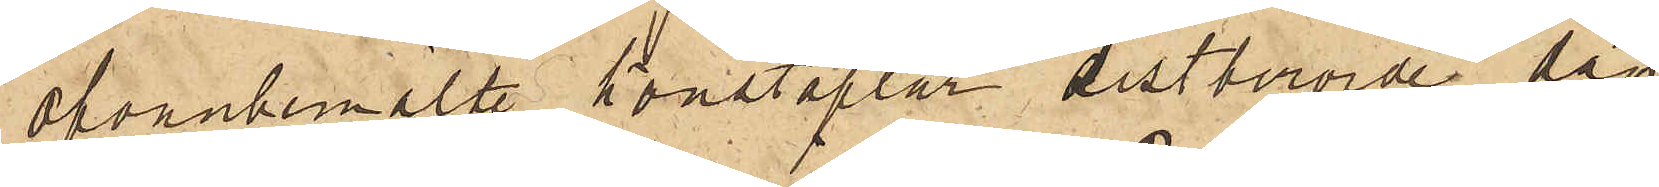ofvanbemälte konstaplar sistberörde dag
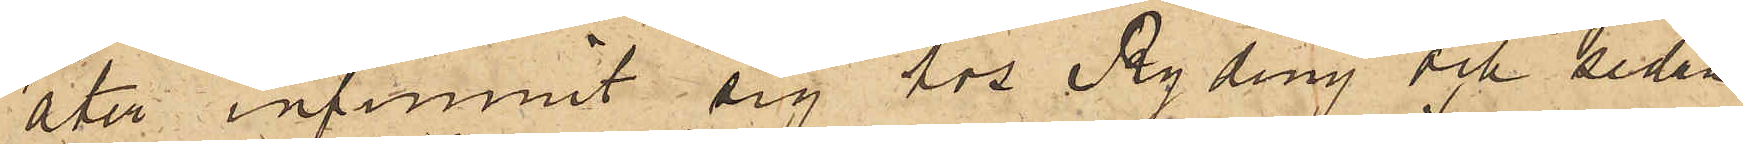åter infunnit sig hos Ryding och sedan
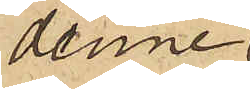denne
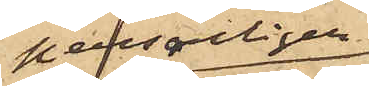personligen
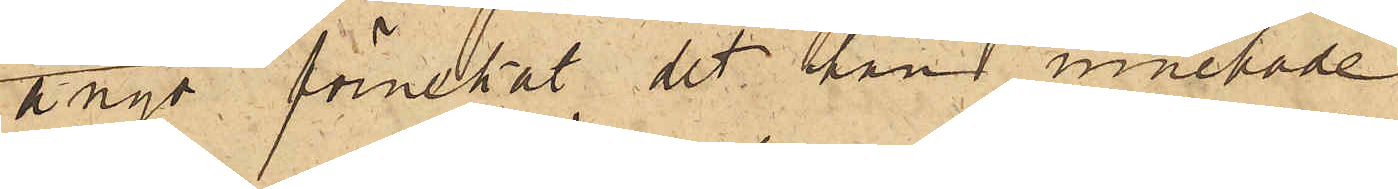ånyo förnekat det han innehade
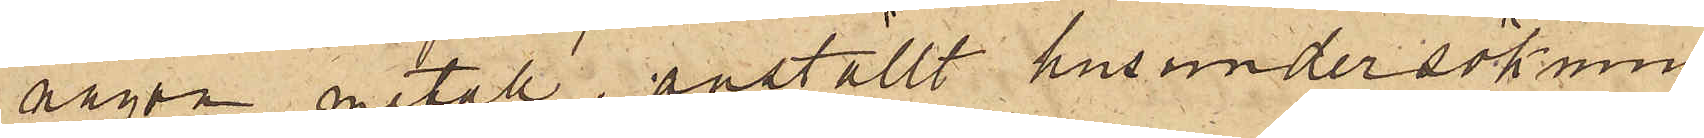någon metall, anställt husundersökning
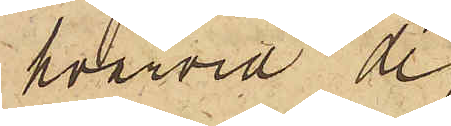hvarvid de
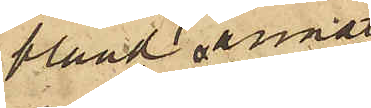bland annat
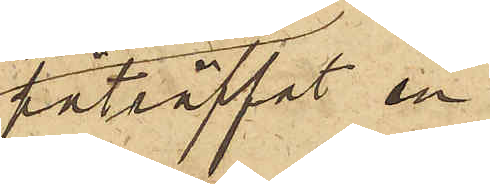påträffat en
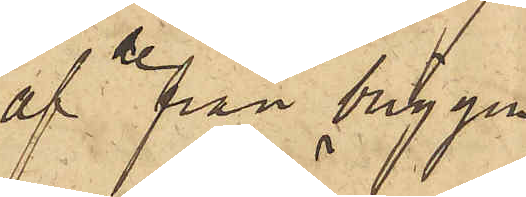af de från briggen
